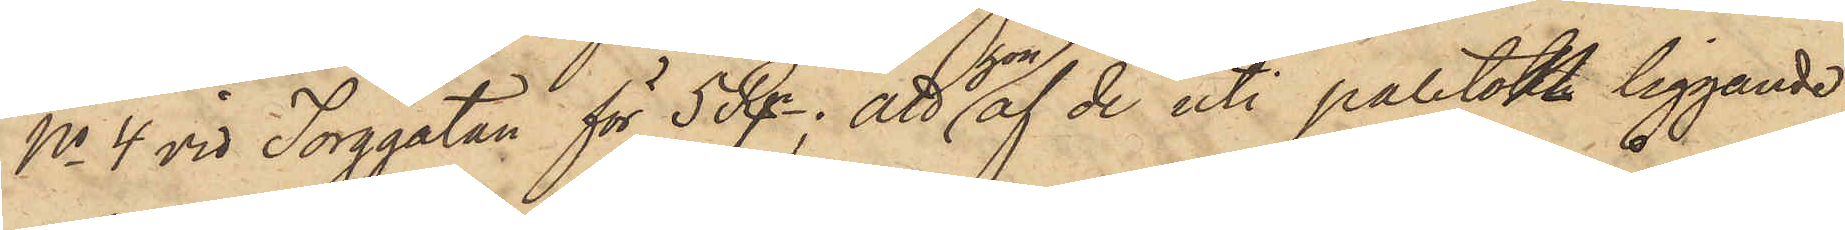No 4 vid Torggatan för 5 Rgr; att hon af de uti paletoten liggande
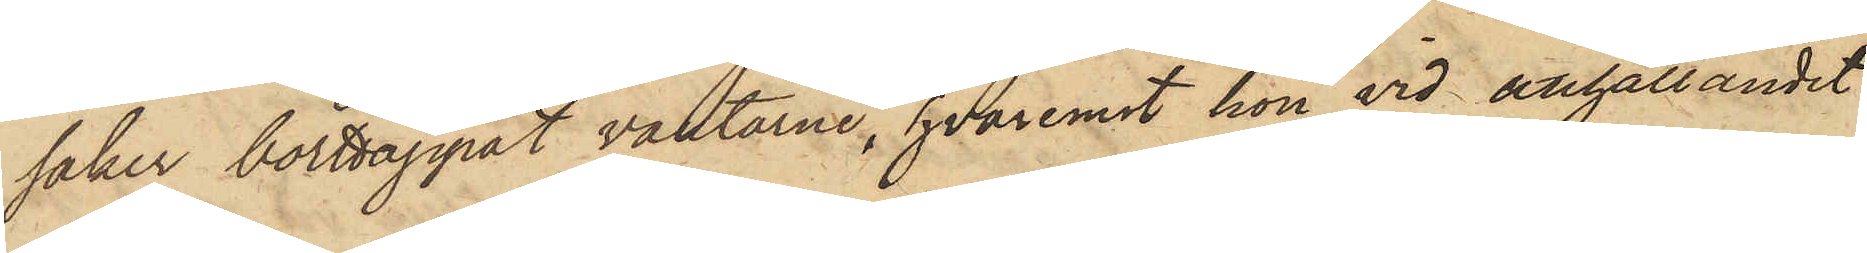saker borttappat vantarne, hvaremot hon vid anhållandet
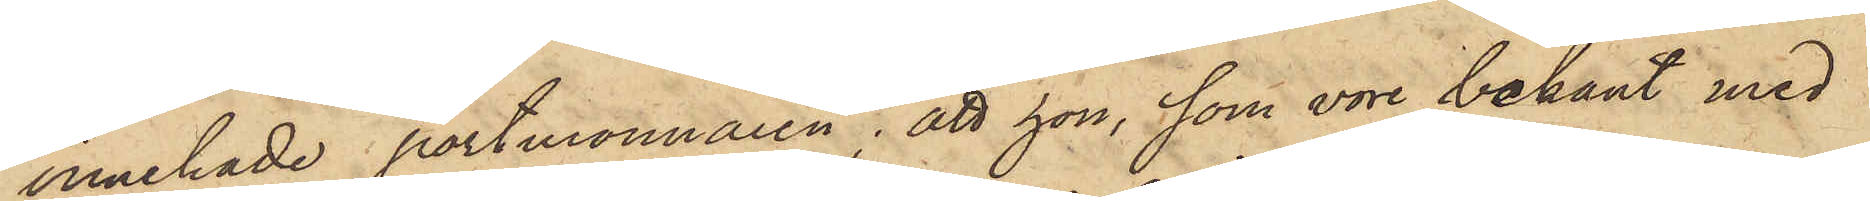innehade portmonnaien; att hon, som vore bekant med
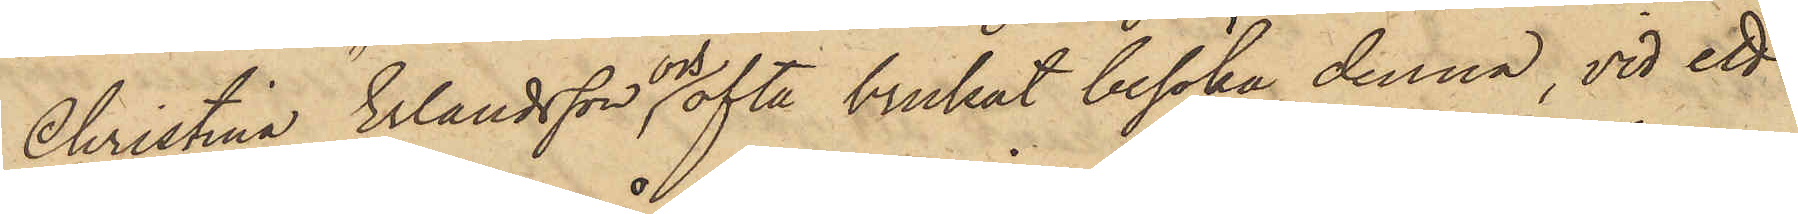Christina Erlandsson och ofta brukat besöka denna, vid ett
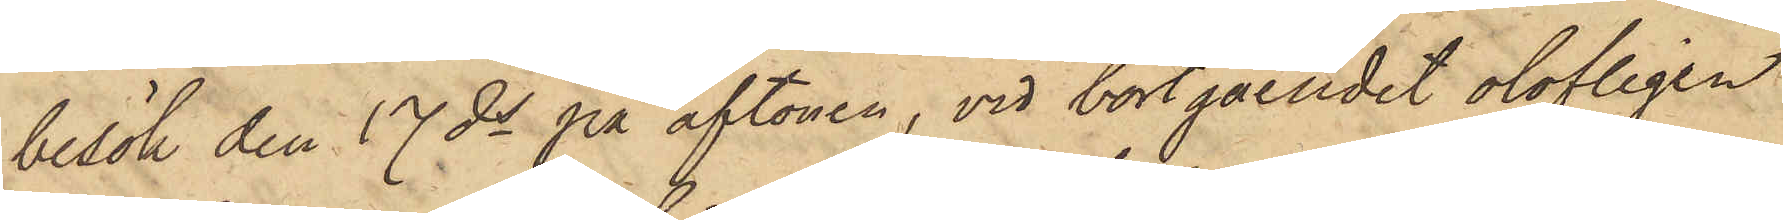besök den 17 ds på aftonen, vid bortgåendet olofligen
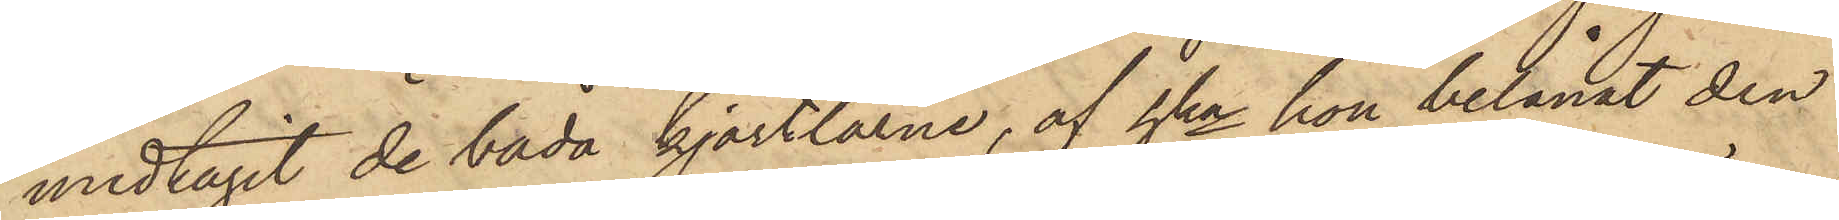medtagit de båda kjortlarne, af hka hon belånat den
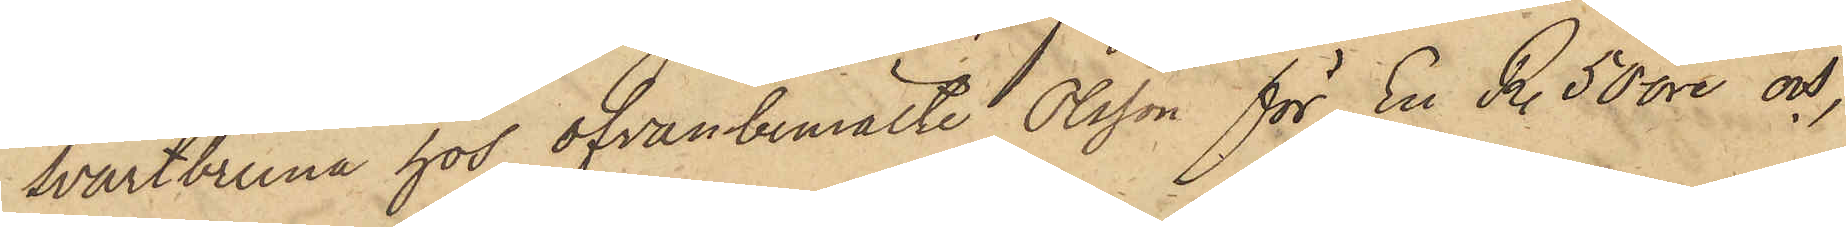svartbruna hos ofvanbemälte Olsson för En R. 50 öre och,
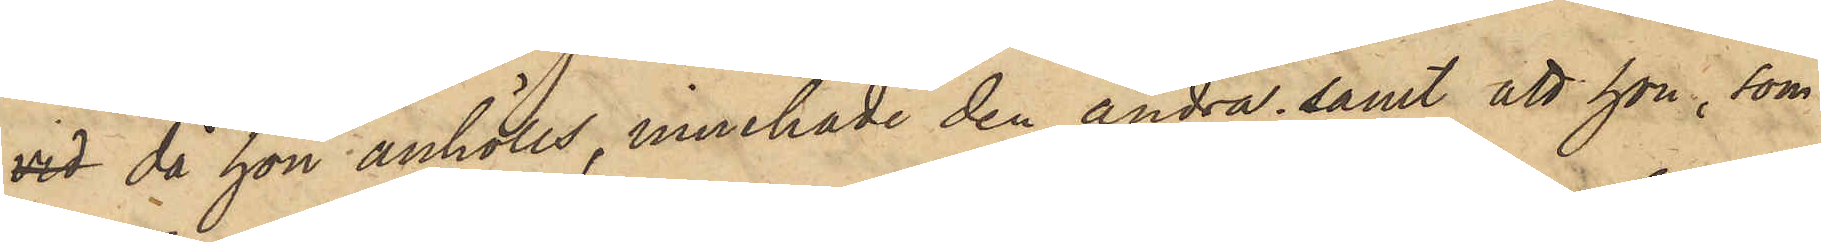vid då hon anhölls, innehade den andra; samt att hon, som
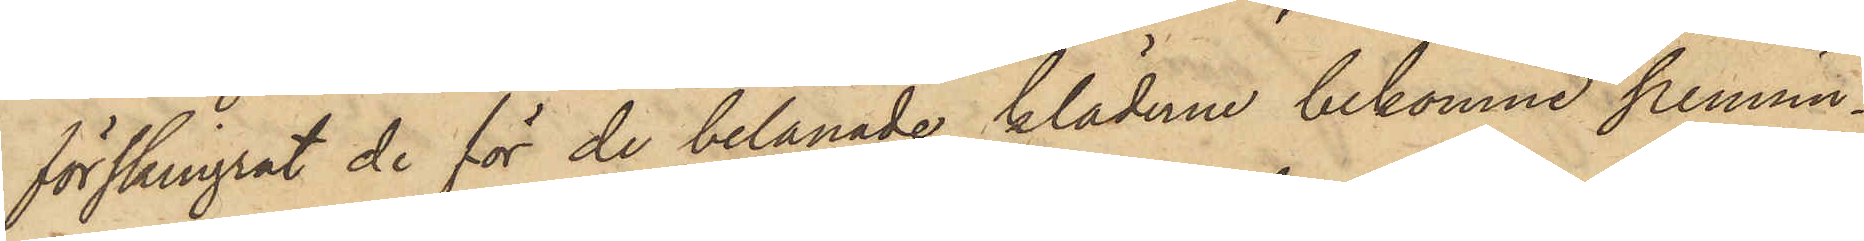förskingrat de för de belånade kläderne bekomne pennin¬
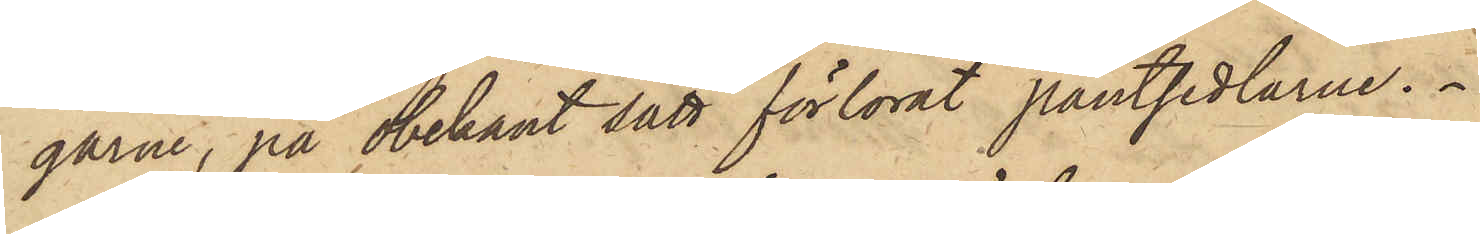garne, på obekant sätt förlorat pantsedlarne.
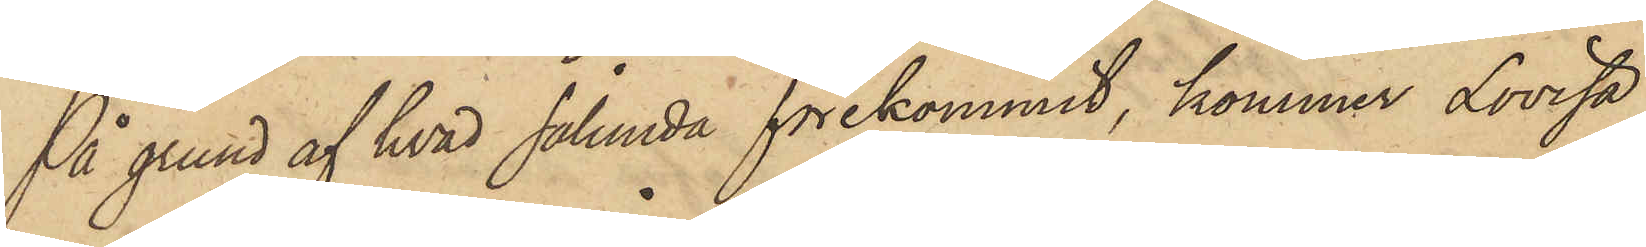På grund af hvad sålunda förekommit, kommer Lovisa
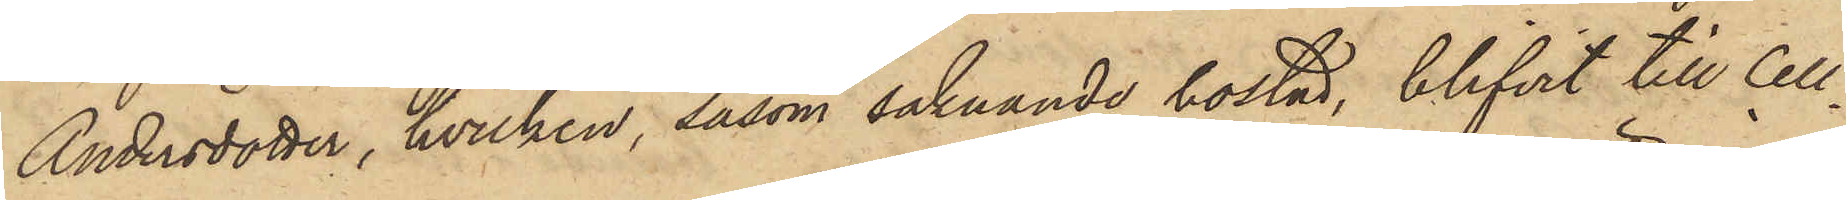Andersdotter, hvilken, såsom saknande bostad, blifvit till Cell¬
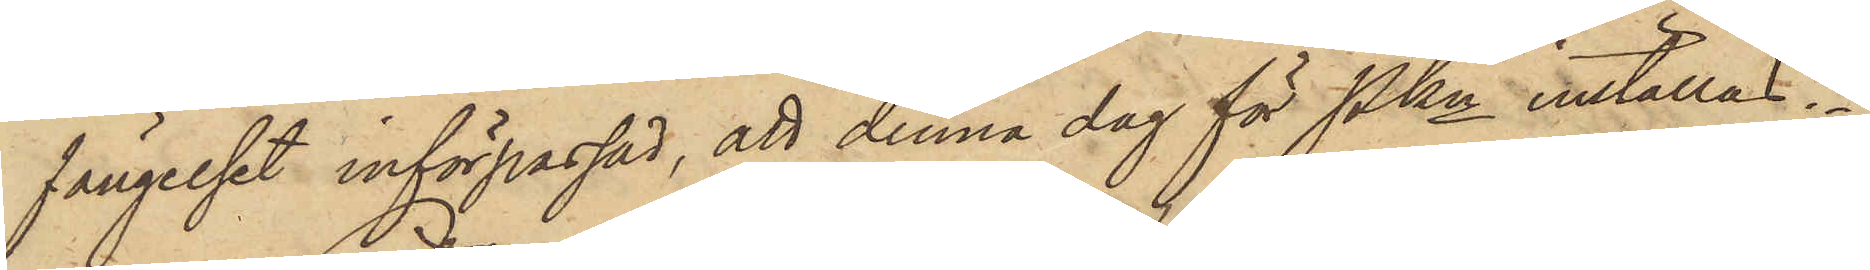fängelset införpassad, att denna dag för Pkn inställas.
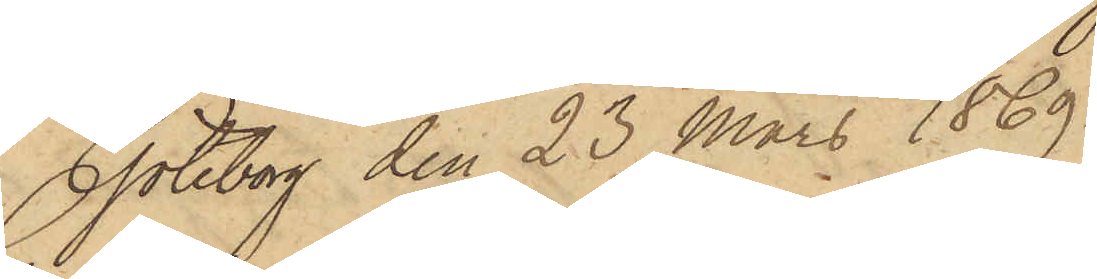Göteborg den 23 Mars 1869.
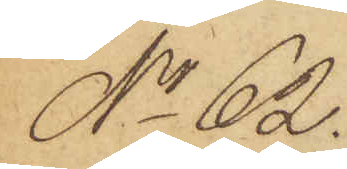No 62.
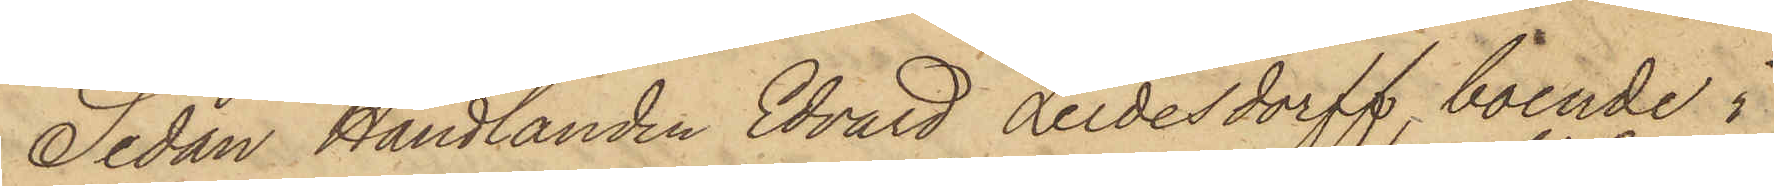Sedan Handlanden Edvard Leidesdorff, boende i
